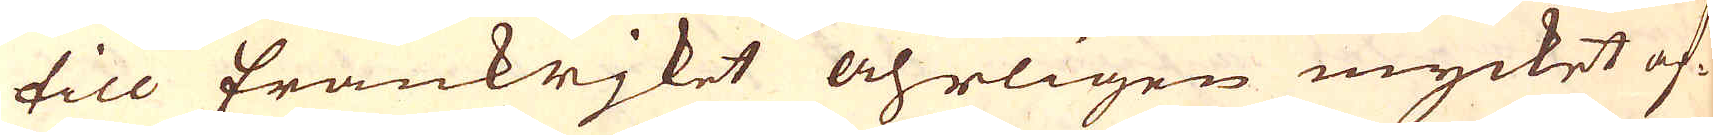till Frankrjket åhrligen mycket af-
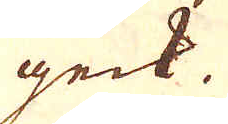geck.
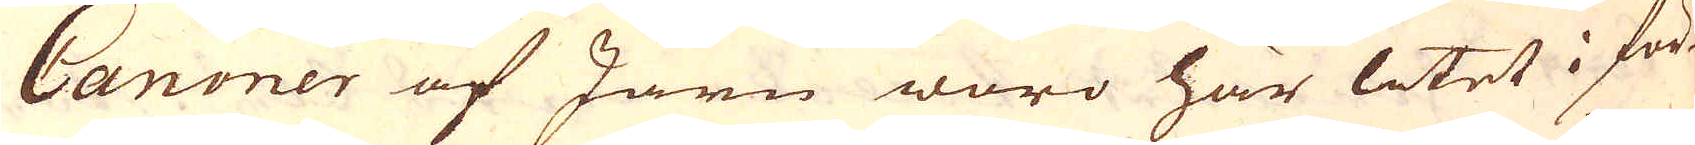Canoner af Järn woro här litet i för-
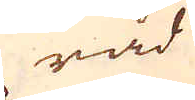råd
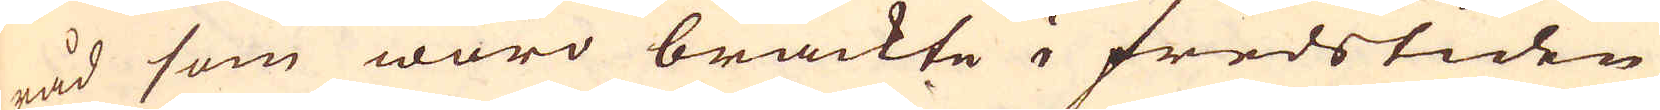råd som woro brackte i fredstiden
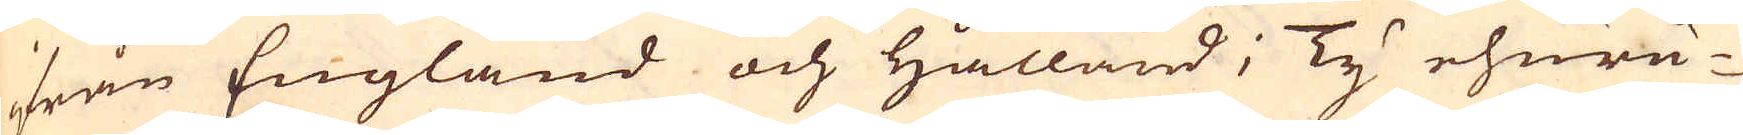ifrån England och Hålland; Ty ehuru-
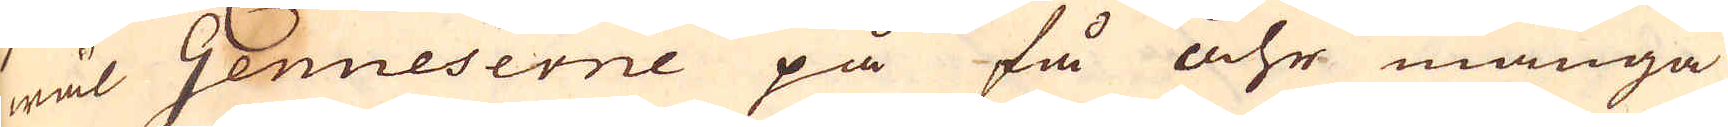wäl Genueserne på få åhr många
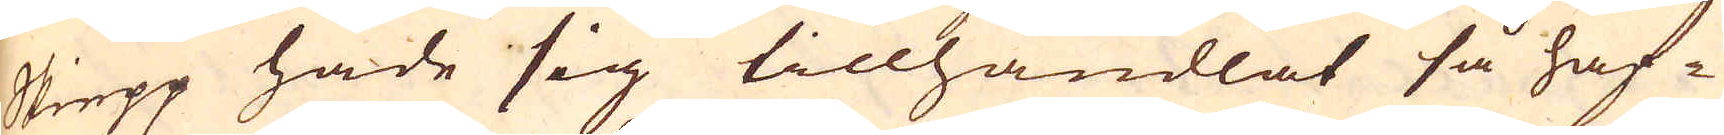Skiepp hade sig tillhandlat så haf-
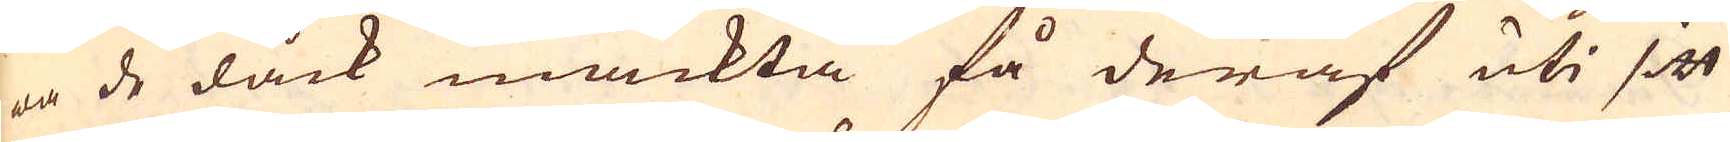wa de dåck mäckta få deraf uti sitt
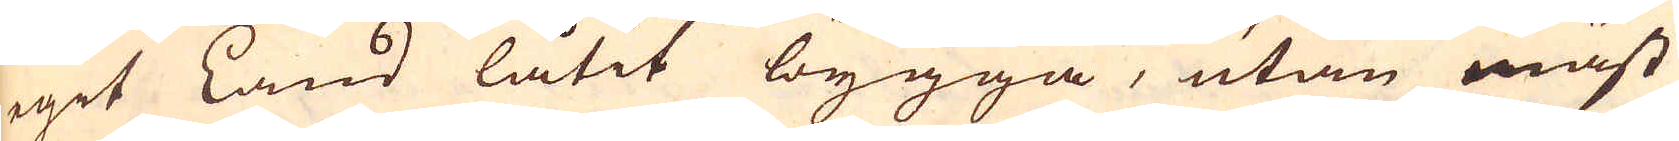egit Land låtit bygga, utan mäst
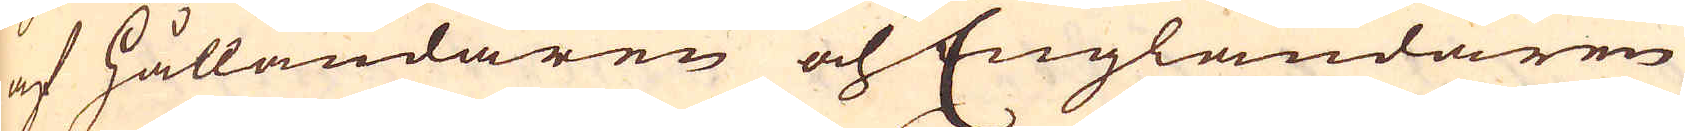af Hålländaren och Engländaren
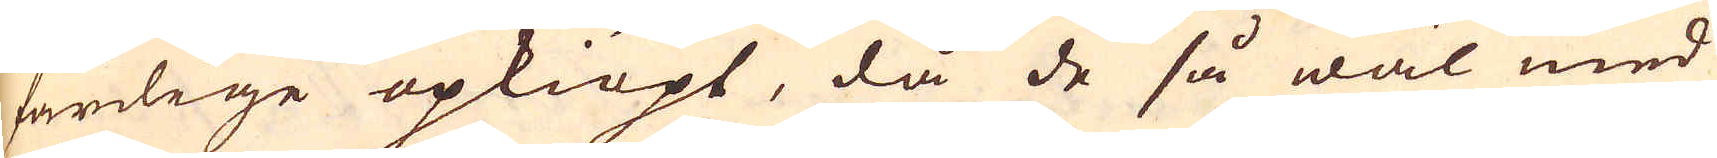färdige opkiöpt, då de så wäl med
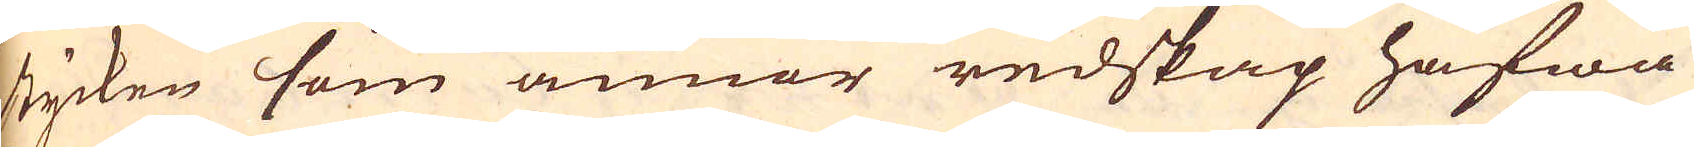stycken som annor redskap hafwa
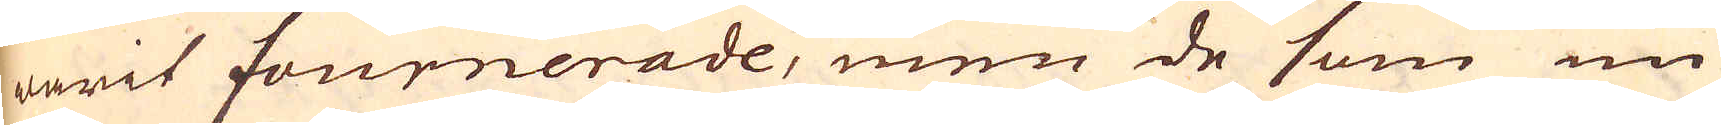warit fournerade, men de som nu
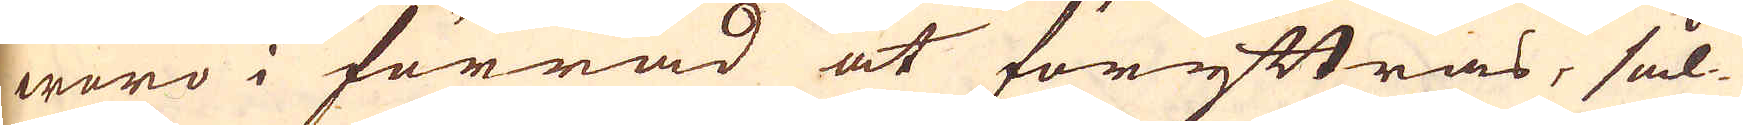woro i förråd at föryttras, sål-
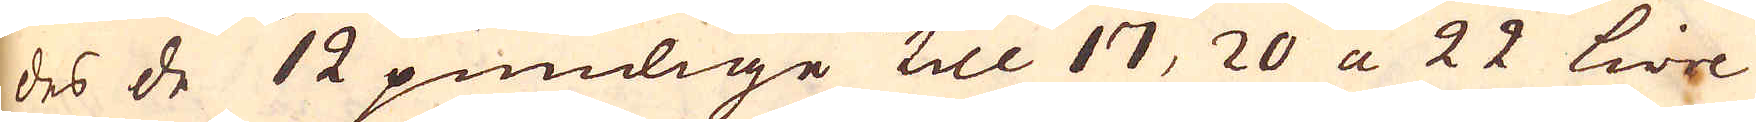des de 12 pundige till 17, 20 a 22 Lire
